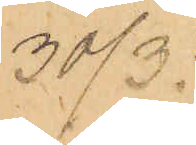30/3.
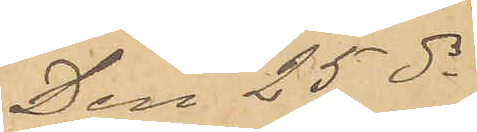Den 25 ds
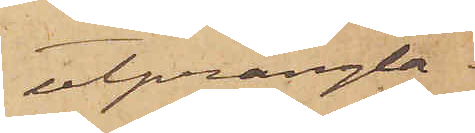utprångla¬
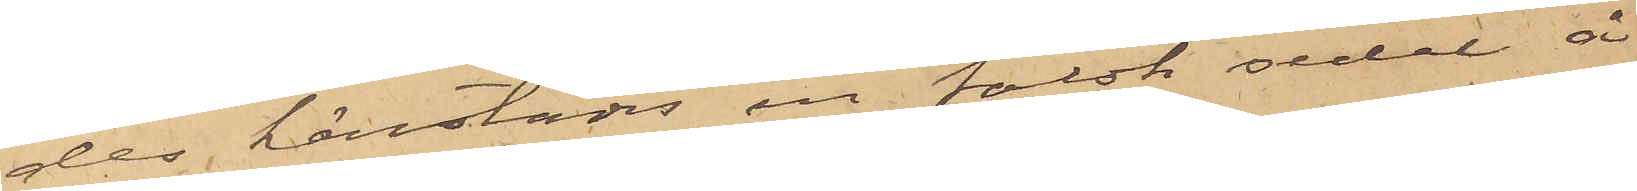des härstädes en falsk sedel å
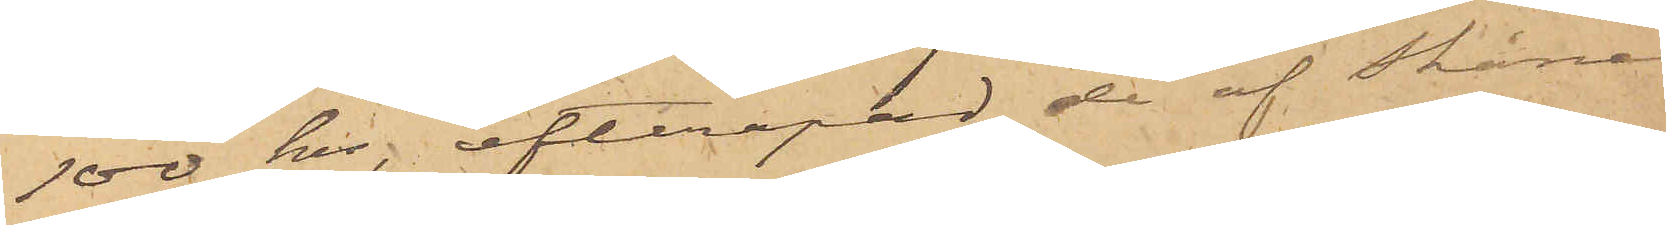100 kr, efterapad de af Skånes
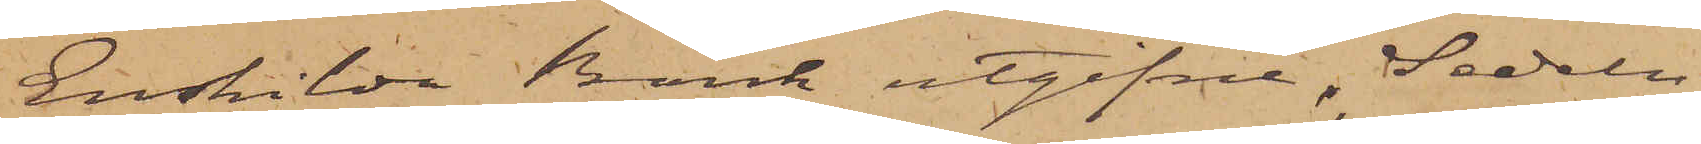Enskilda Bank utgifne. Sedeln
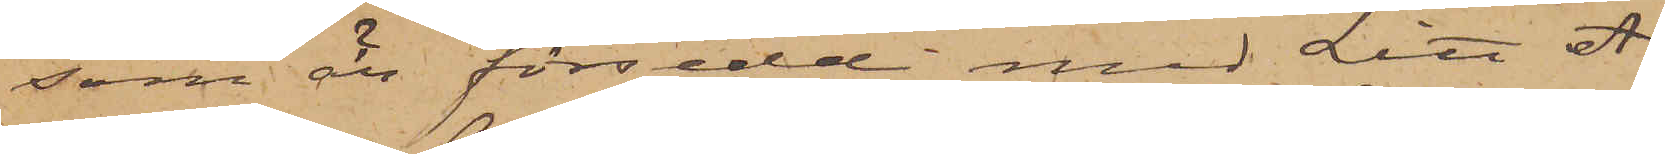som är försedd med Litt A.
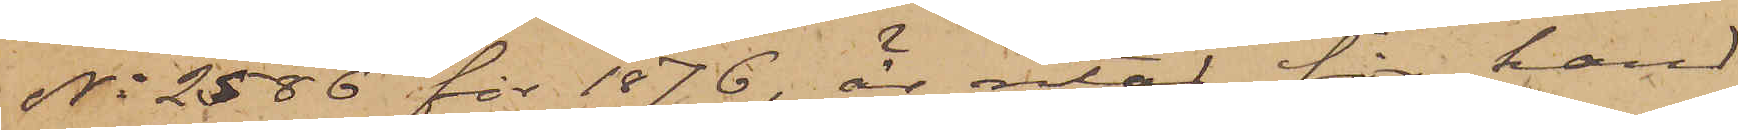No 2586 för 1876, är ritad för hand
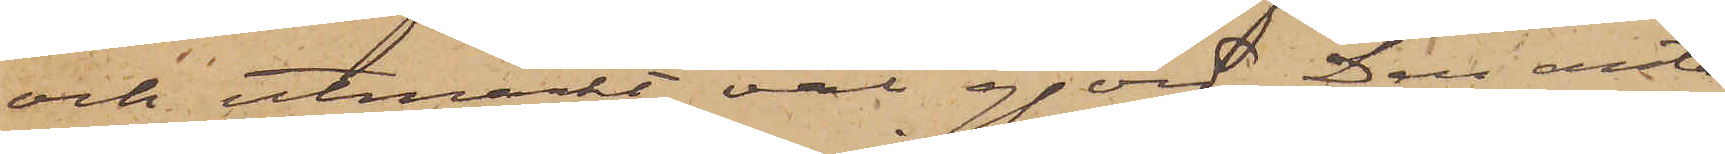och utmärkt väl gjord. Den anta¬
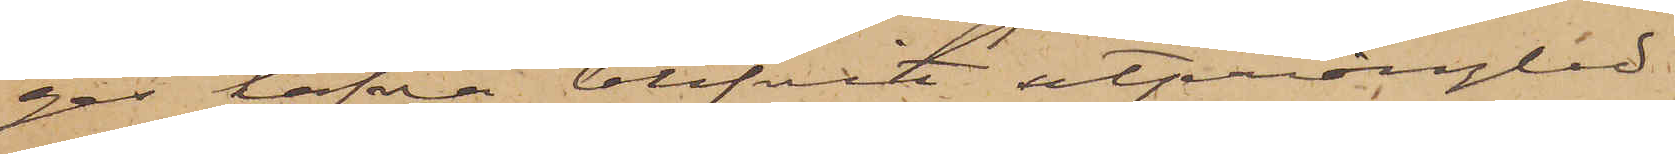ges hafva blifvit utprånglad
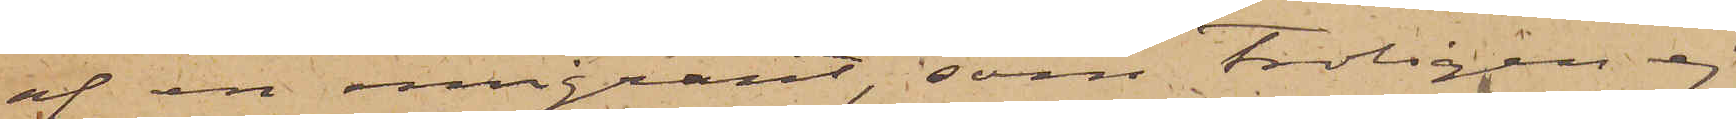af en emigrant, som troligen ej
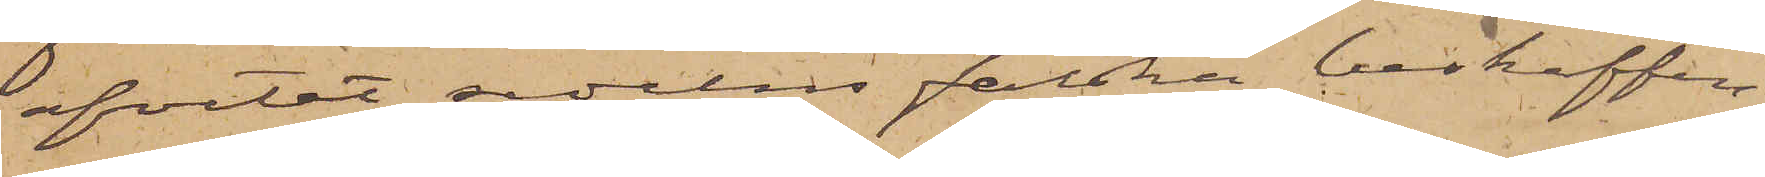afvetat sedelns falska beskaffen¬
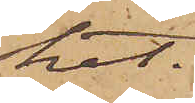het.
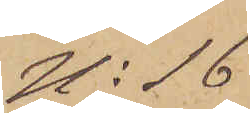No 16
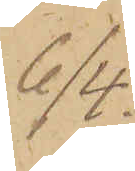6/4.
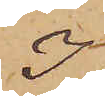I
